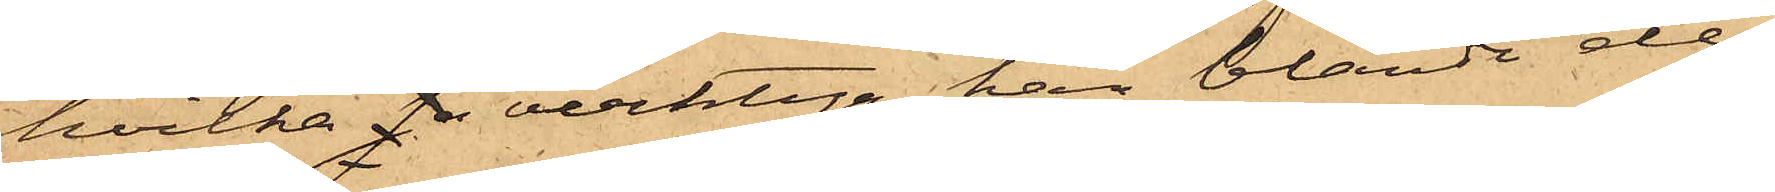hvilka sa verktyg han bland de
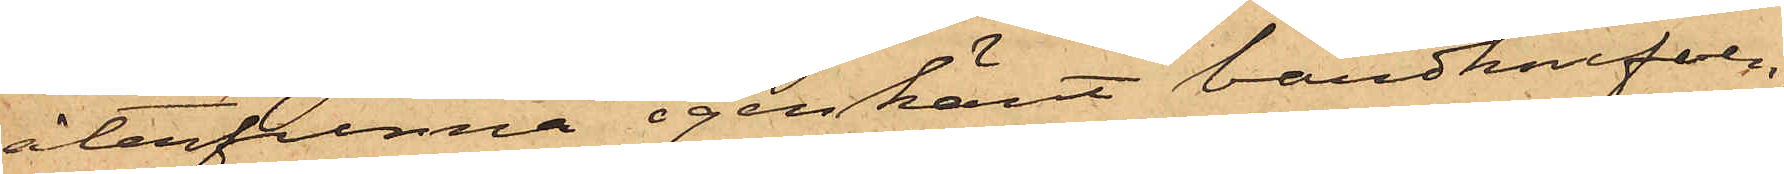återfunna igenkänt bandknifven,
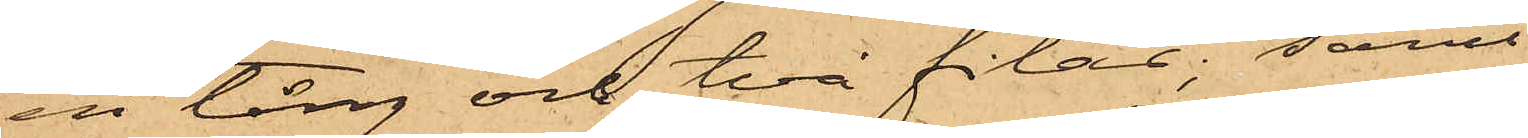en tång och två filar; samt
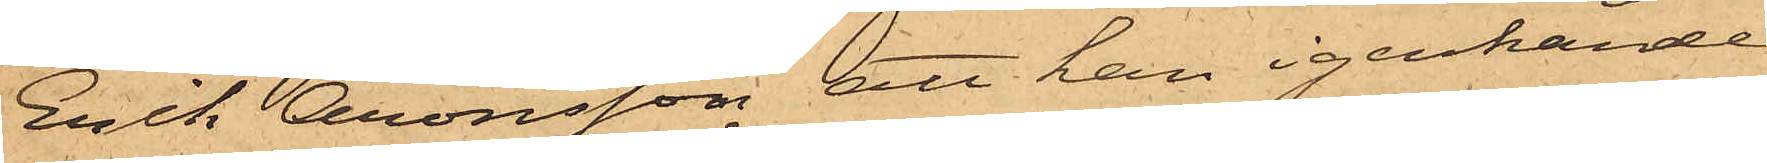Erik Aronsson att han igenkände
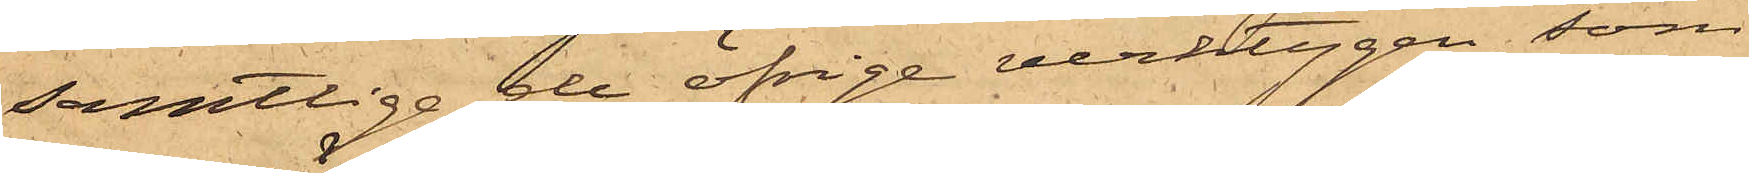samtliga de öfrige verktygen, som
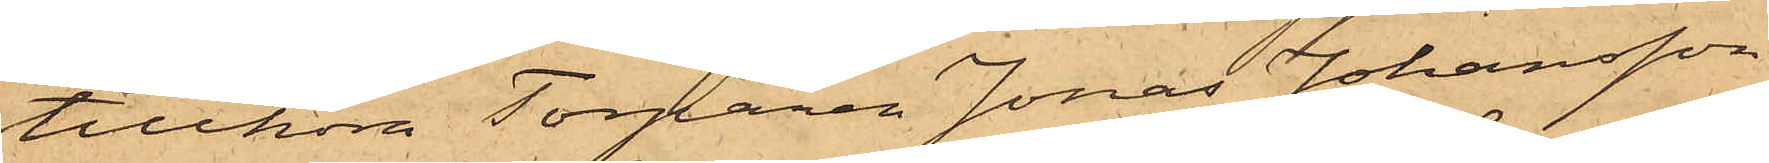tillhöra Torparen Jonas Johansson
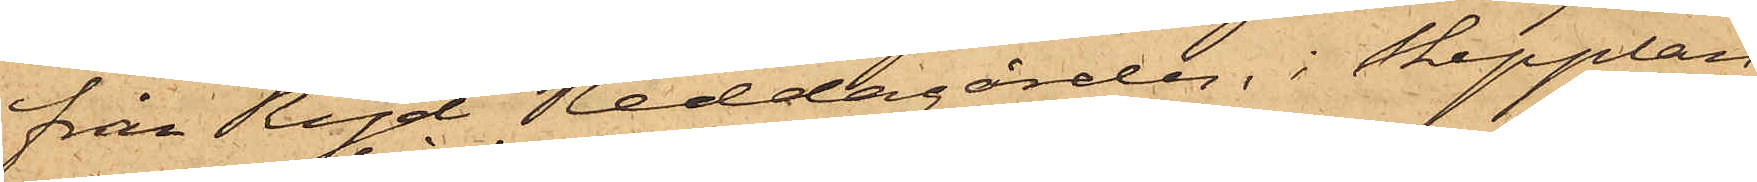från Ryd Reddagården, i Skepplan¬
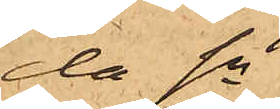da Sn
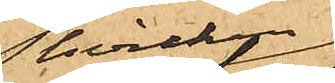hvilken
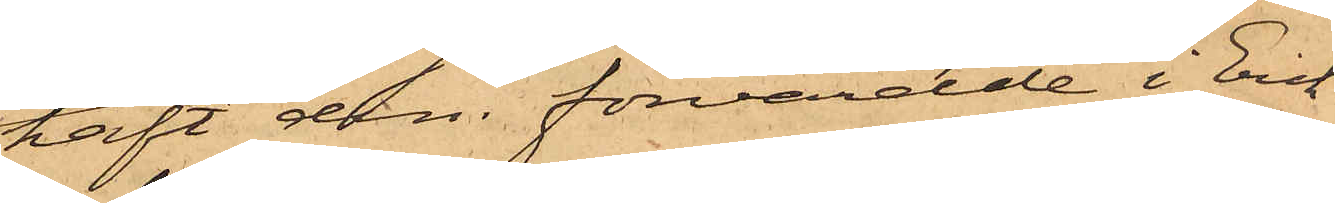haft dem förvarade i Erik
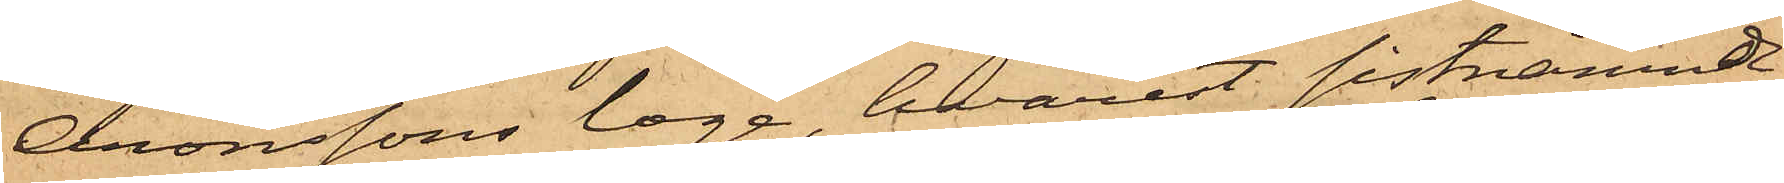Aronssons loge, hvarest sistnämnde
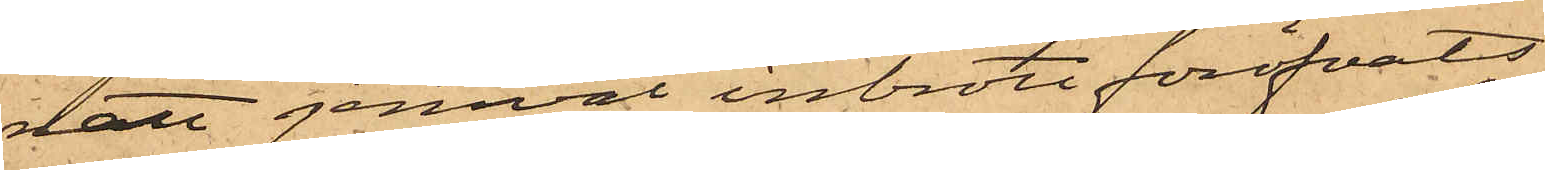natt jemväl inbrott föröfvats
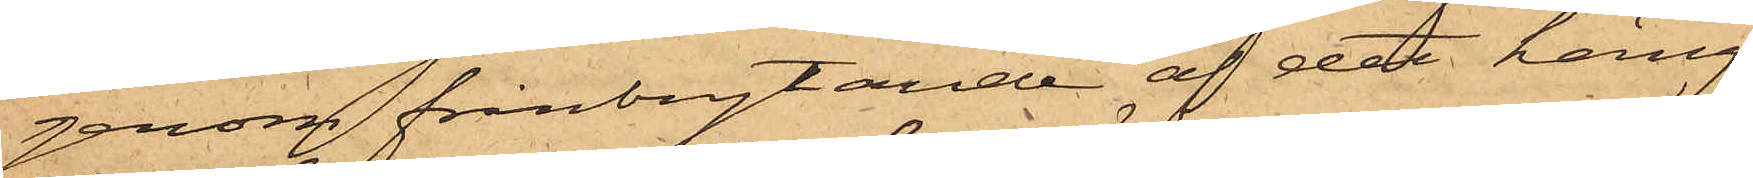genom frånbrytande af det häng¬
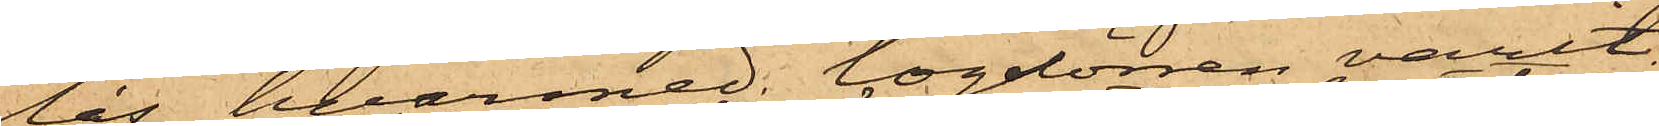lås, hvarmed logdörren varit
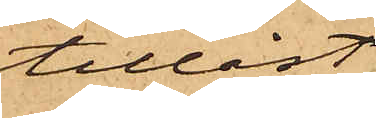tillåst;
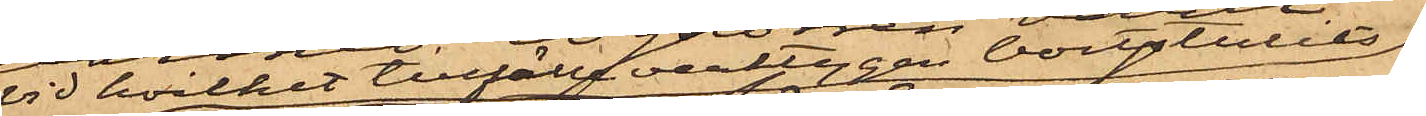vid hvilket tillfälle verktygen bortstulits
